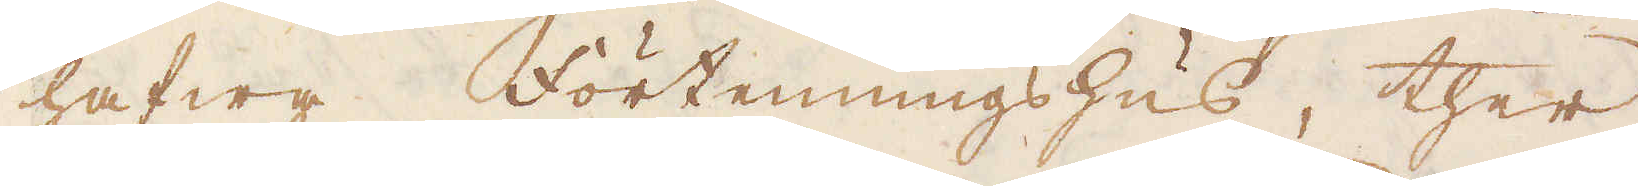hafwa Förtenningshus, ther
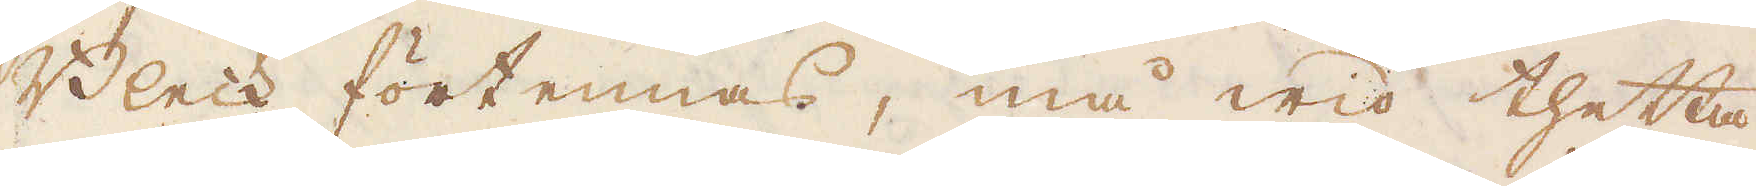Bleck förtennas, må wid thetta
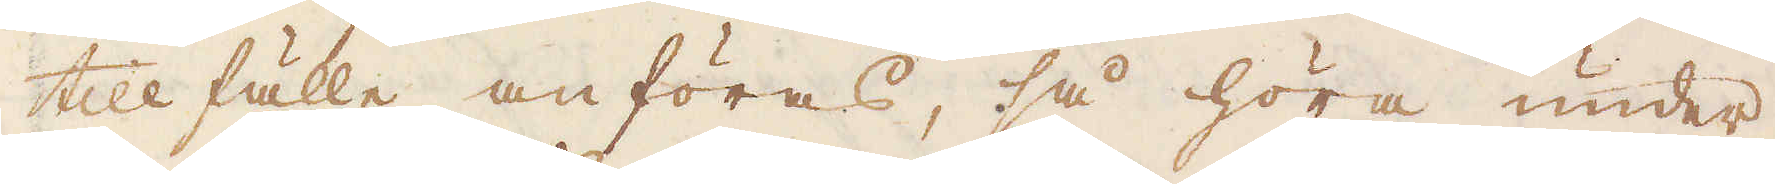tillfälle anföras, så höra under
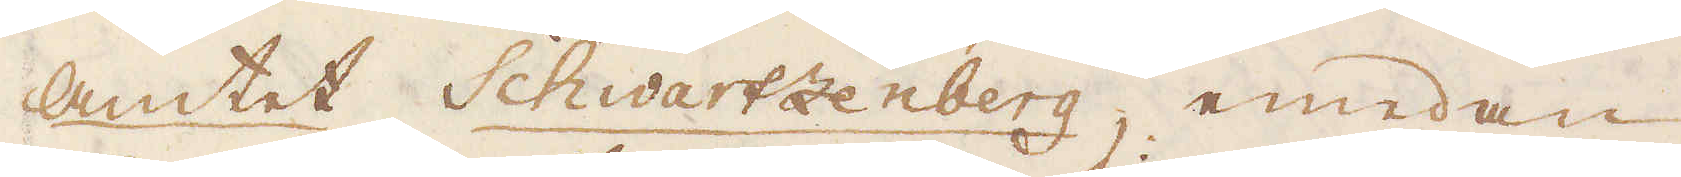Amtet Schwartzenberg, emedan
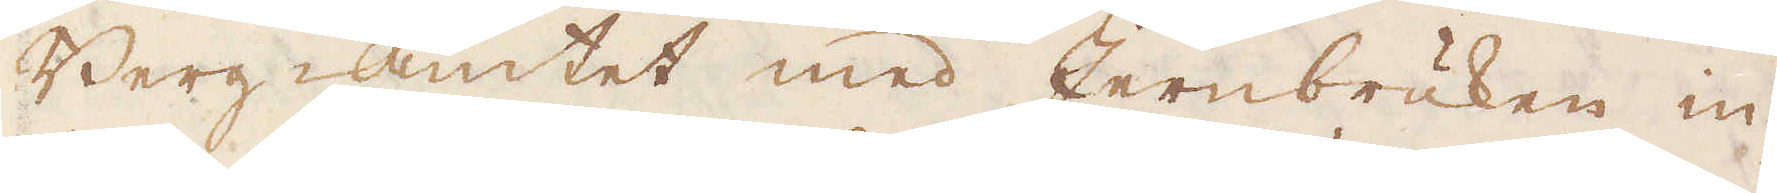Bergamtet med Jernbruken in-
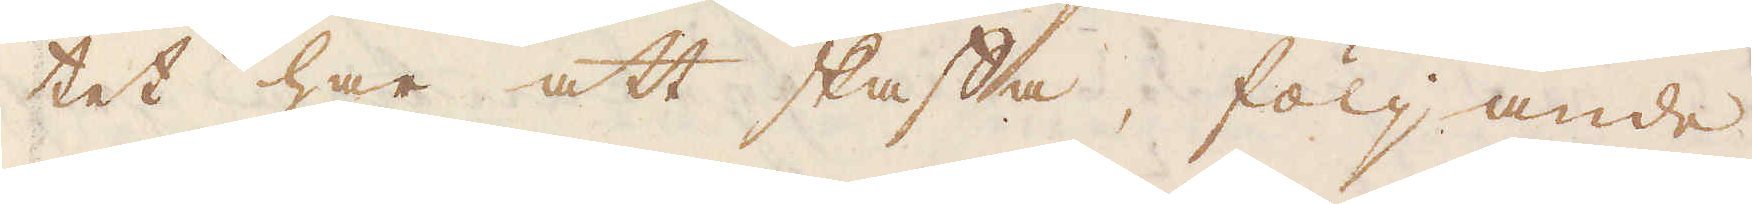tet har att skaffa, följande
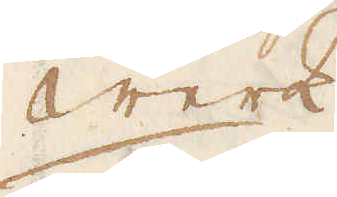Werk
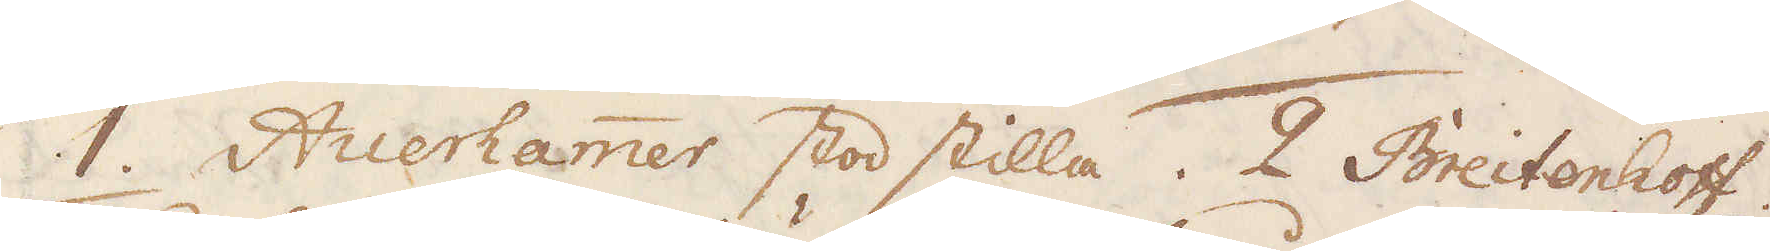1. Auerhammer stod stilla. 2 Breitenhoff.
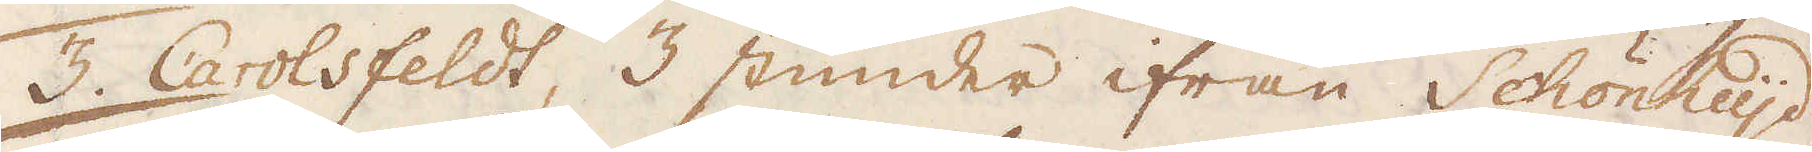3. Carolsfeldt, 3 stunder ifrån Schönheijd
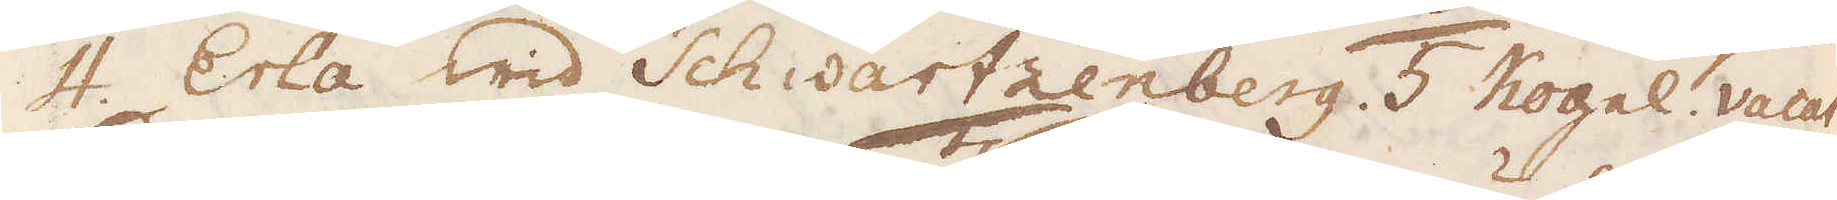4. Erla wid Schwartzenberg. 5 Kogel. vacat.
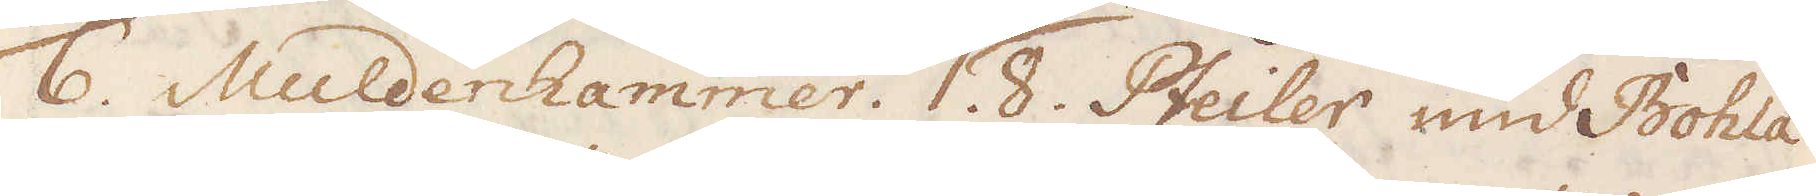6. Muldenhammer. 7. 8. Pfeiler und Bohla.
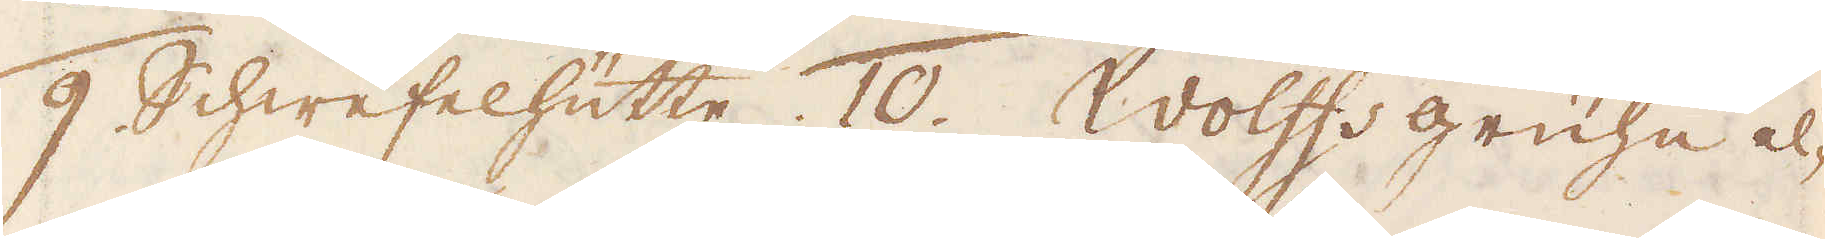9. Schwefelhütte 10. Wolffs grühe el-
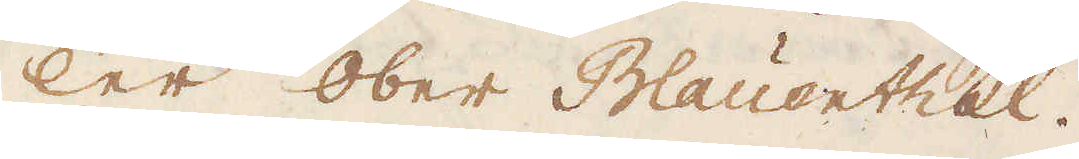ler Ober Blauerthal.
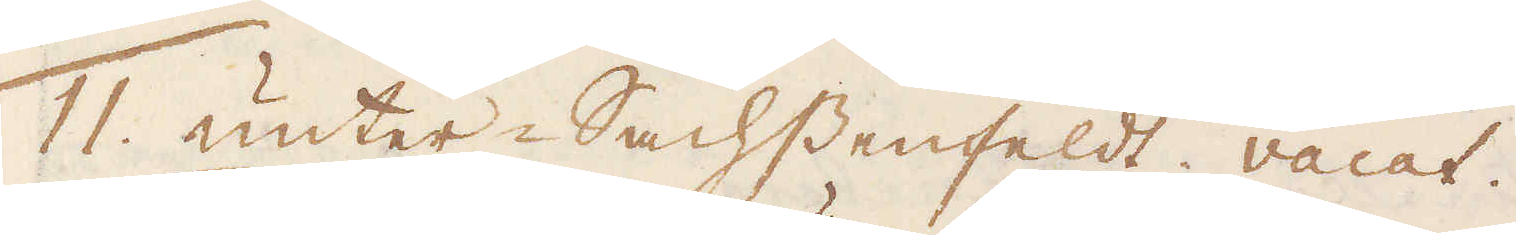11. unter-Sachssenfeldt vacat.
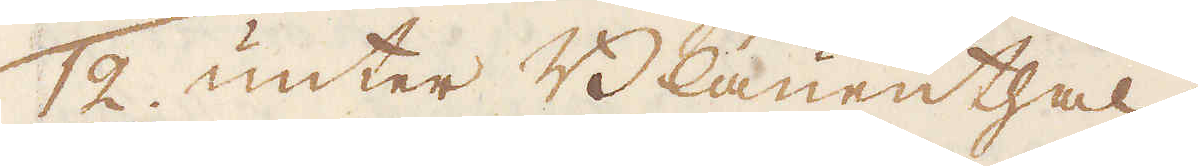12. unter Blauenthal.
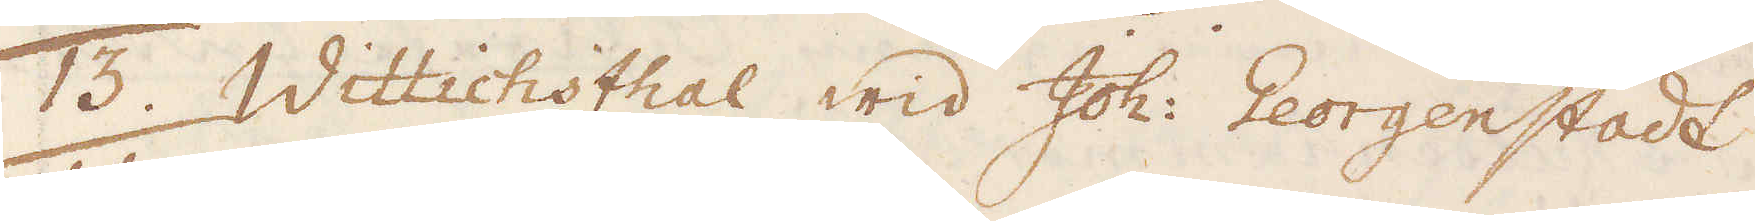13. Wittichsthal wid Joh: Georgenstadt
